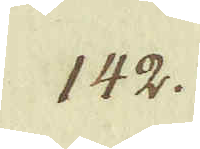142.
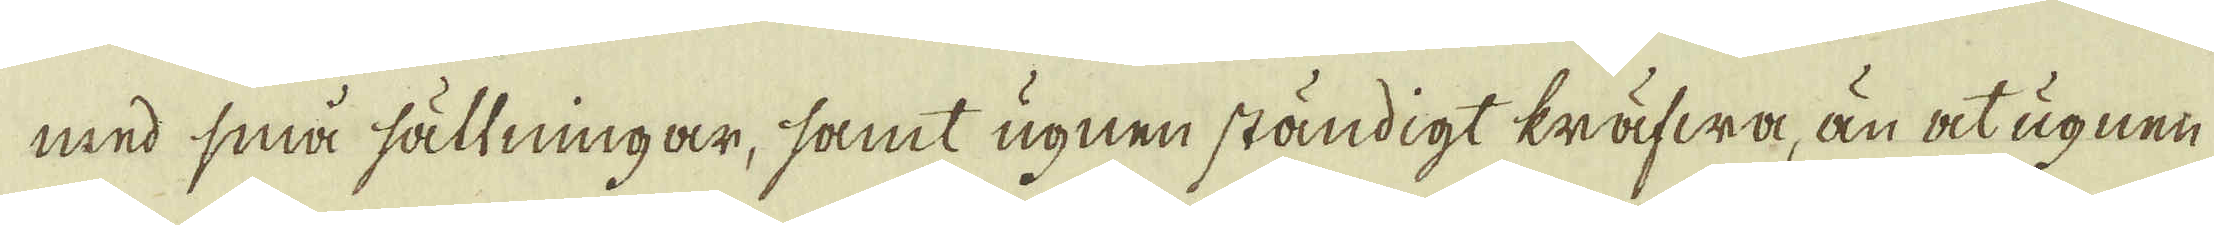med små sältningar, samt ugnen ständigt kräfwa, än at ugnen
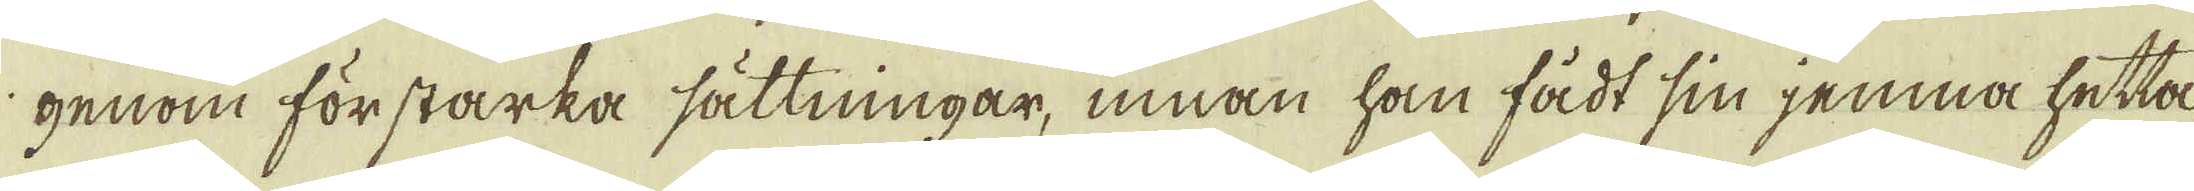genom för starka sättningar, innan han fådt sin jemna hetta
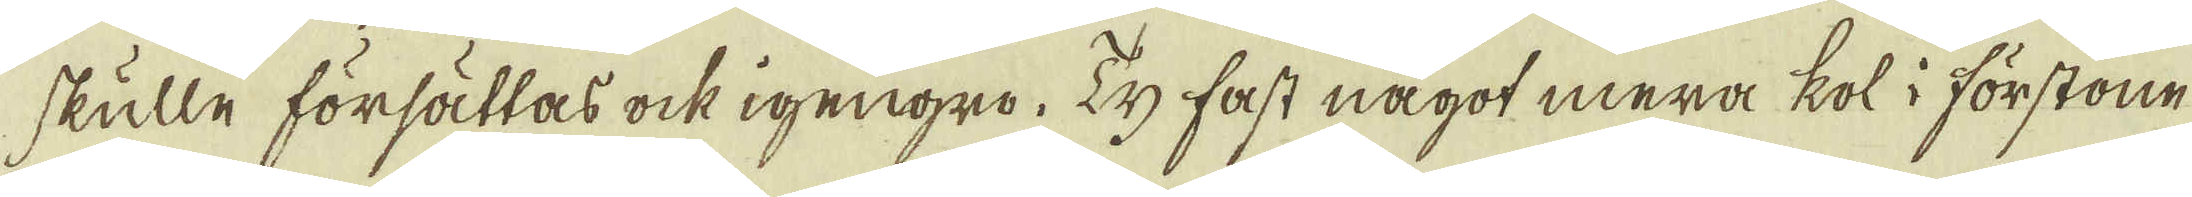skulle försättas ock igengro. Ty fast något mera kol i förstone
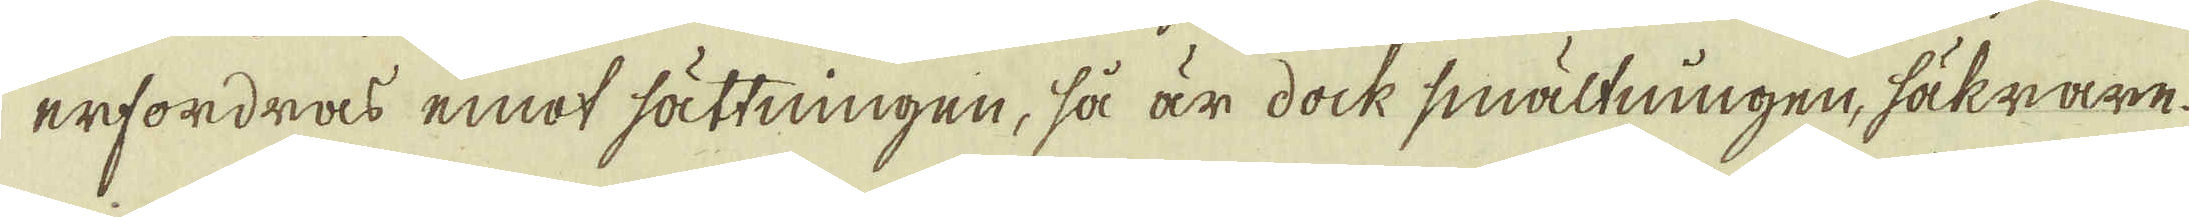erfordras emot sättningen, så är dock smältningen, säkrare
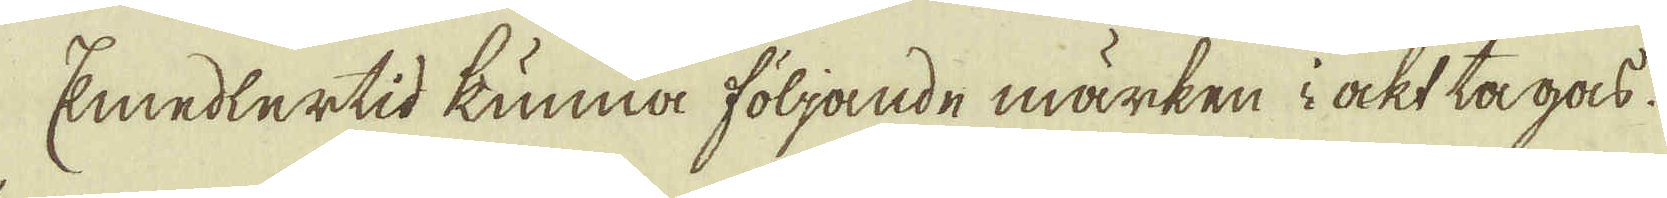Emedlertid kunna följande märken i ackt tagas.
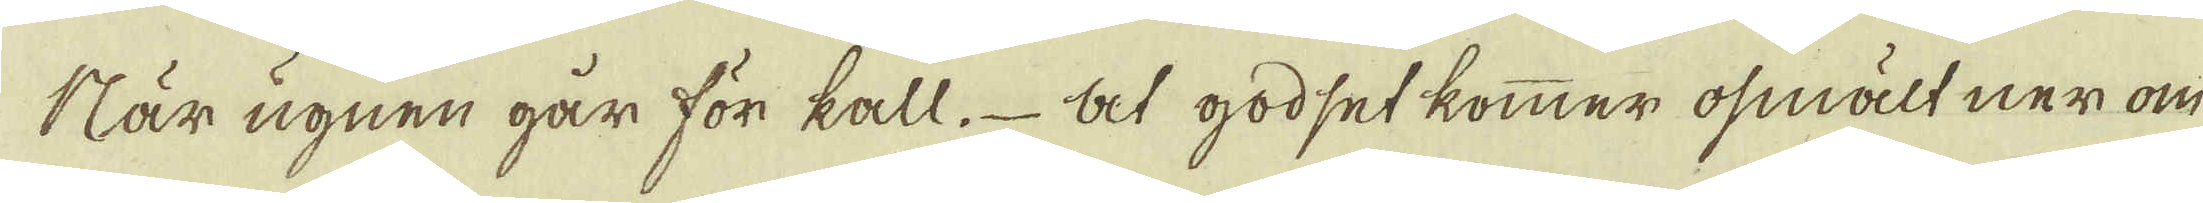När ugnen går för kall. At godset kommer osmält ner om
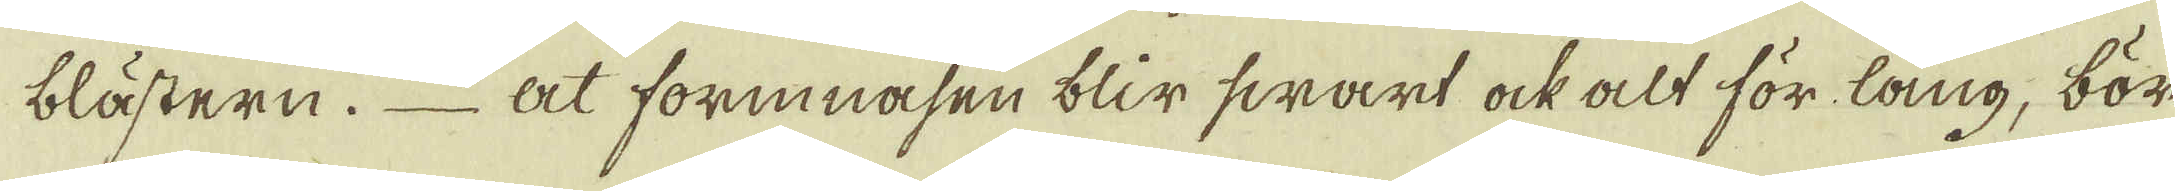blästern. At forinasen blir swart ock alt för lång, bör
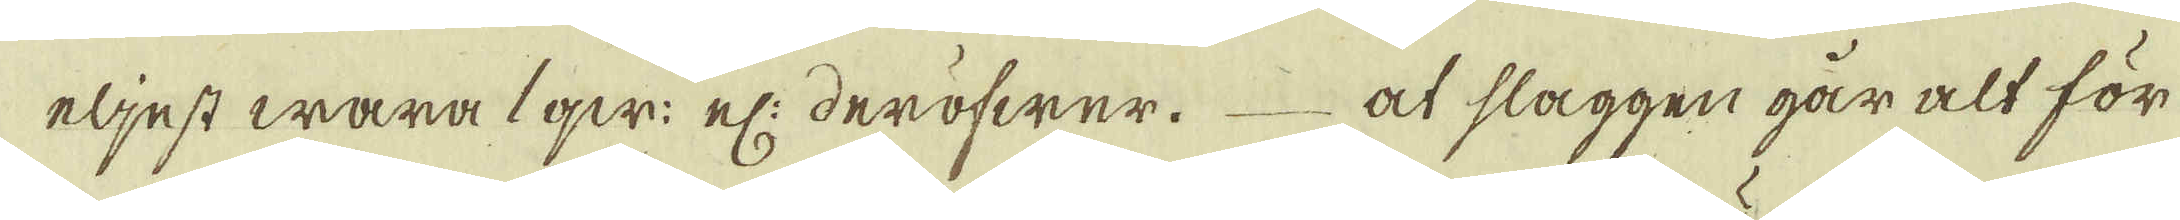eljest wara 1 qw: el: deröfwer. at slaggen går alt för
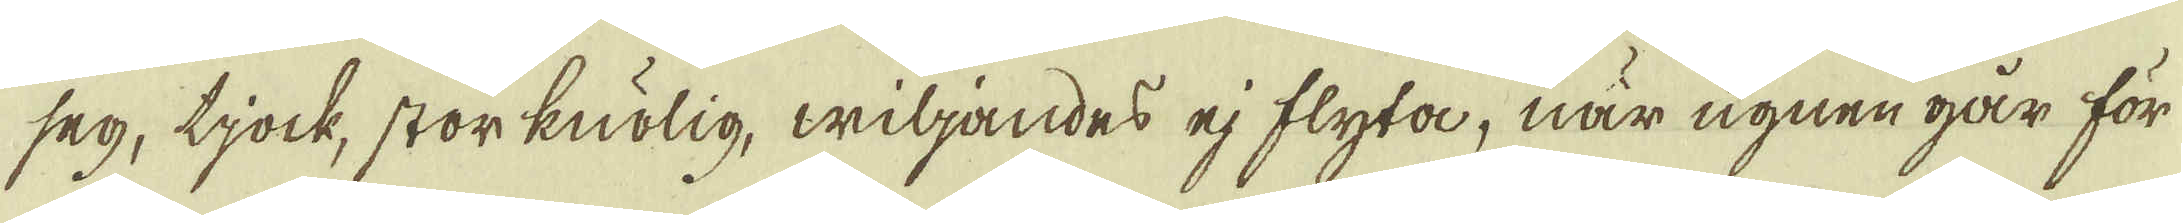seg, tjock, storknölig, wiljandes ej flyta, när ugnen går för
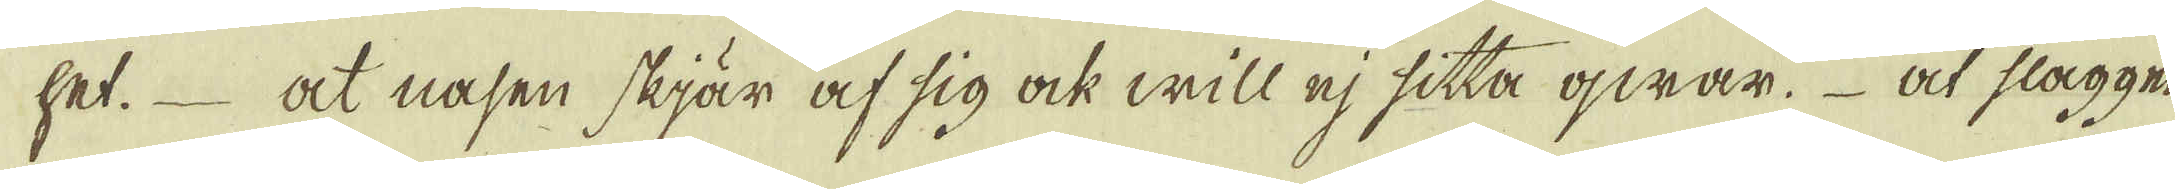het. at nasen skjär af sig ock will ej sitta qwar. at slaggen
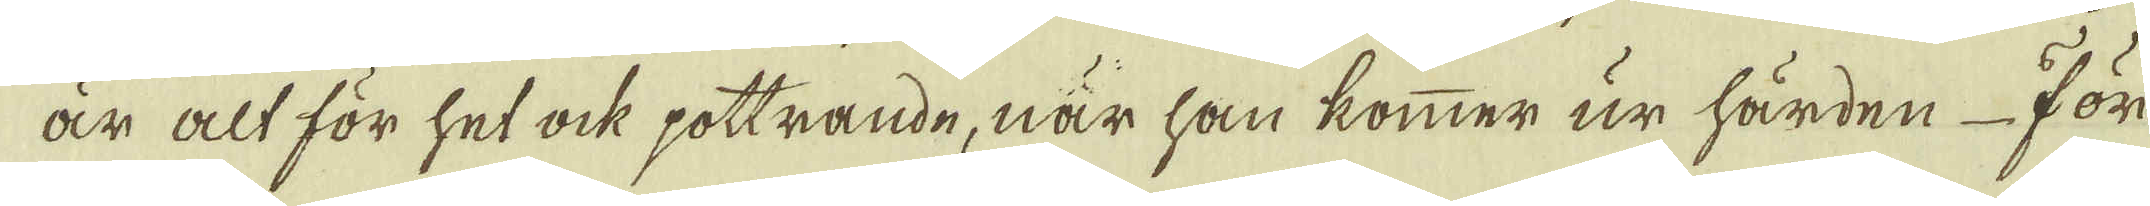är alt för het ock pottrande, när han kommer ur härden För
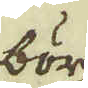bör
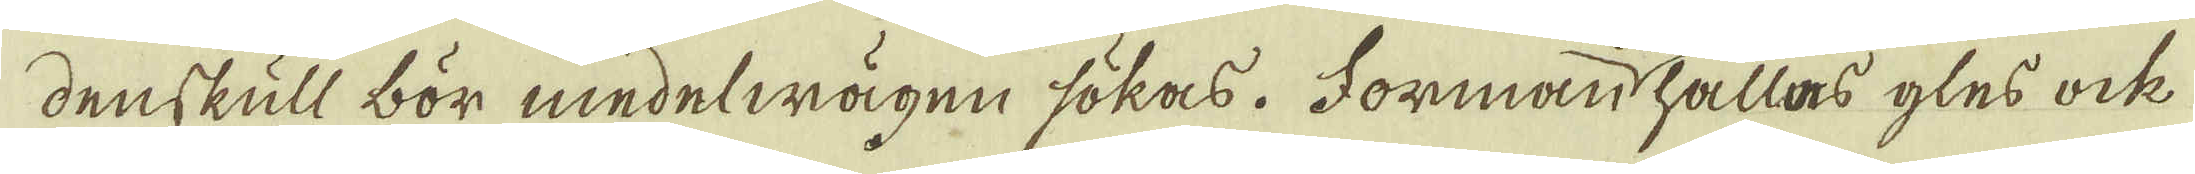denskull bör medelwägen sökas. Formanhållas gles ock
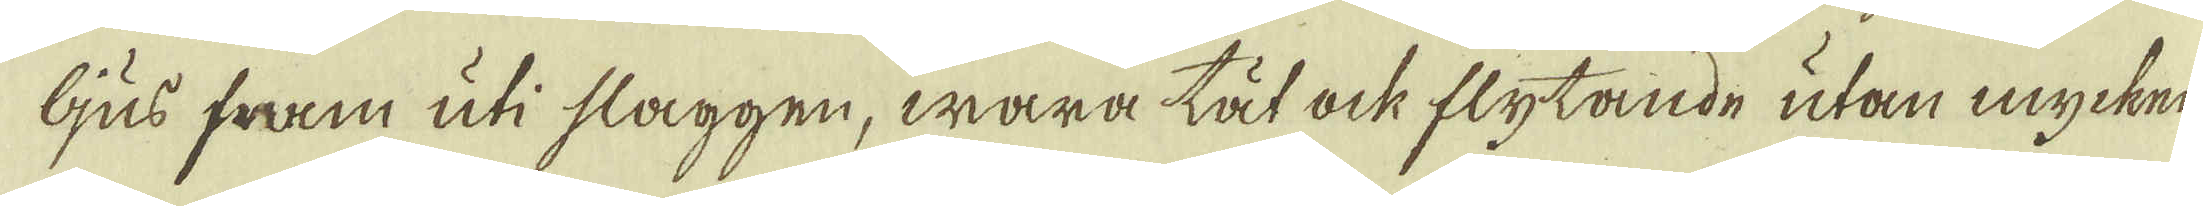ljus fram uti slaggen, wara tät ock flytande utan mycken
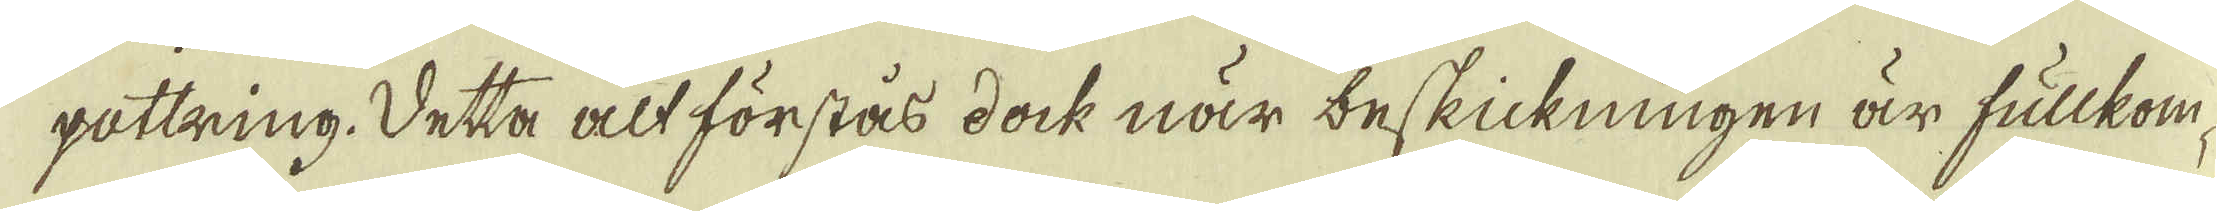pottring. Detta alt förstås dock när beskickningen är fullkom-
